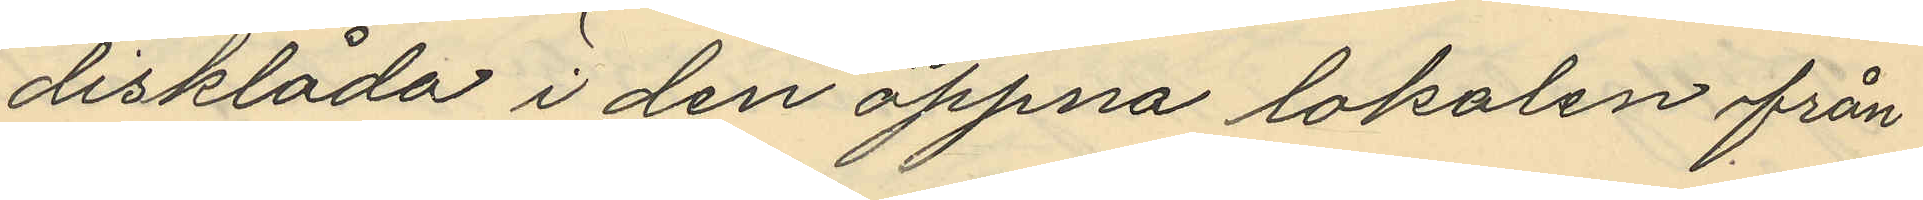disklåda i den öppna lokalen från
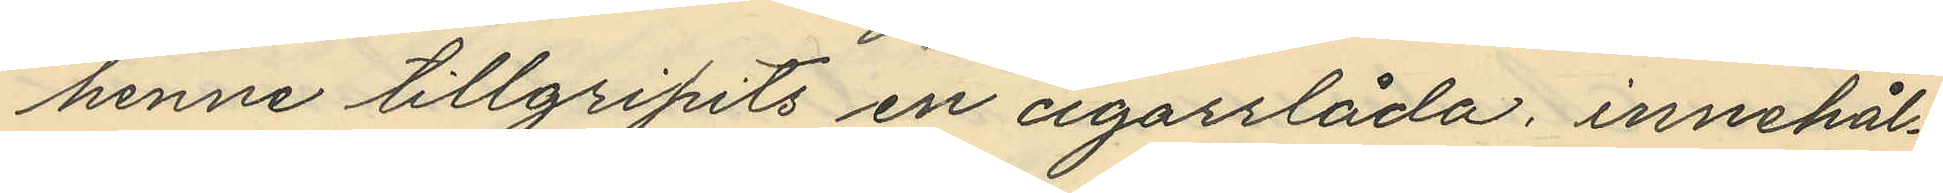henne tillgripits en cigarrlåda, innehål¬
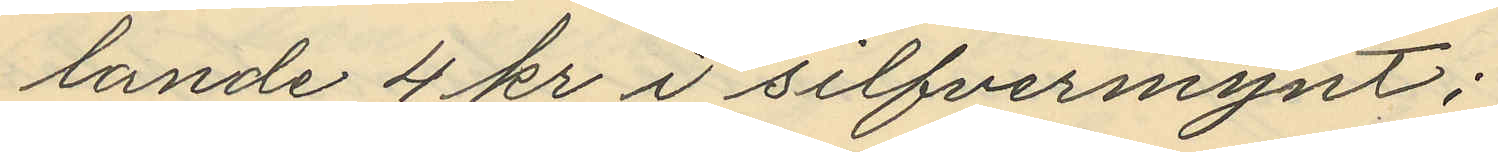lande 4 kr i silfvermynt;
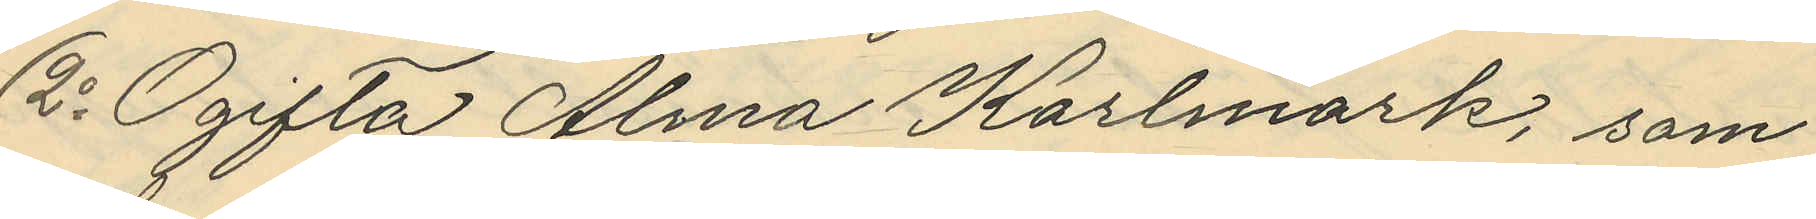2o Ogifta Alma Karlmark, som
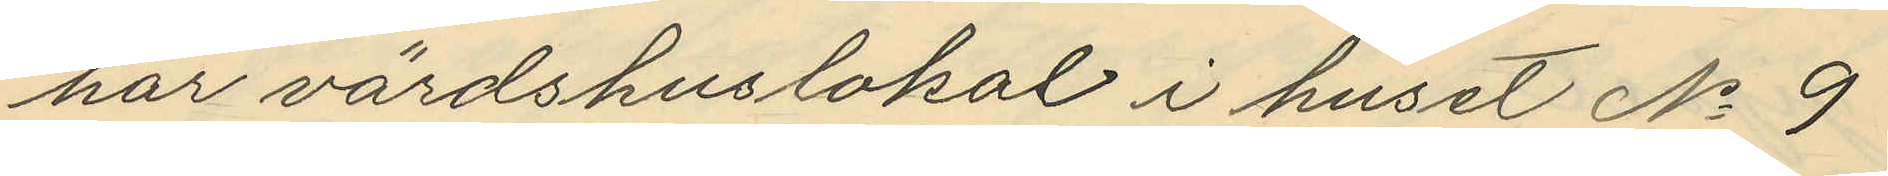har värdshuslokal i huset No 9
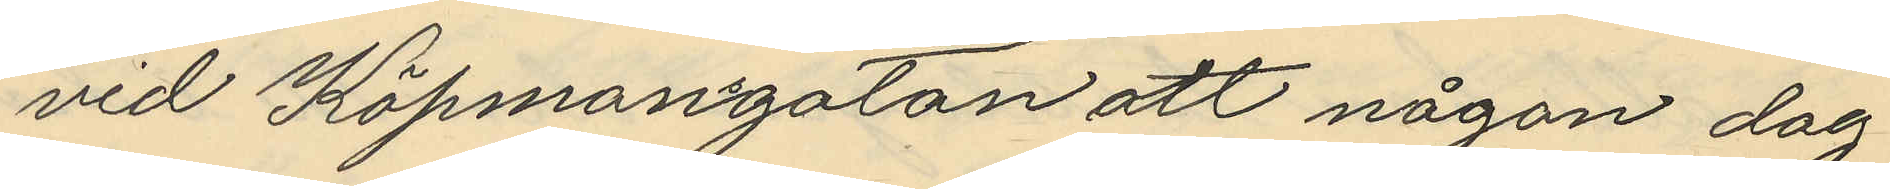vid Köpmangatan att någon dag
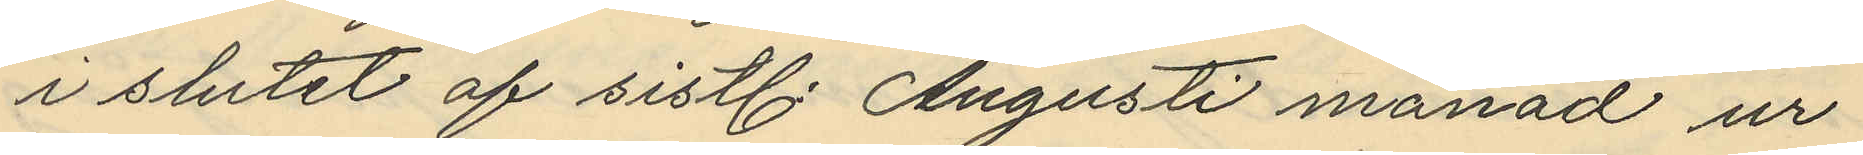i slutet af sistl. Augusti månad ur
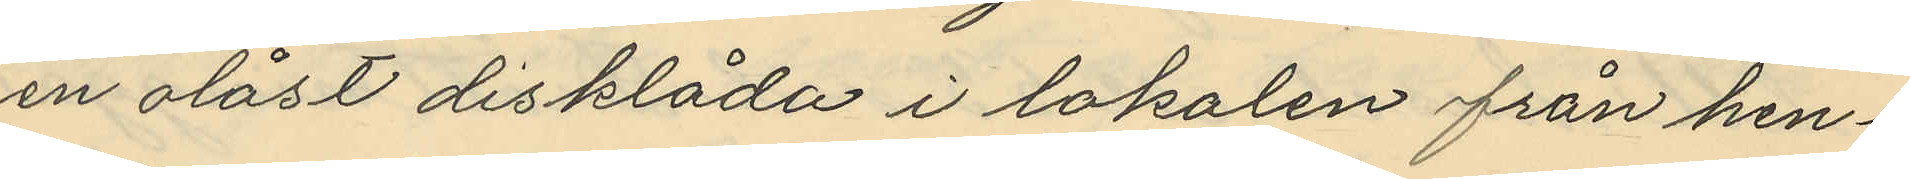en olåst disklåda i lokalen från hen¬
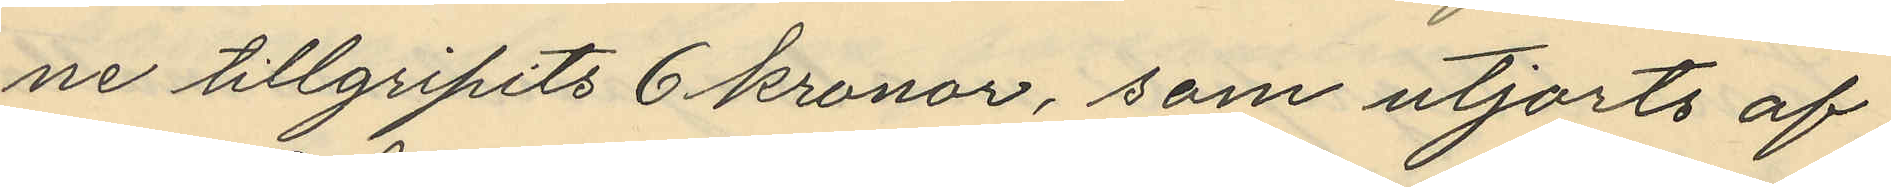ne tillgripits 6 kronor, som utjorts af
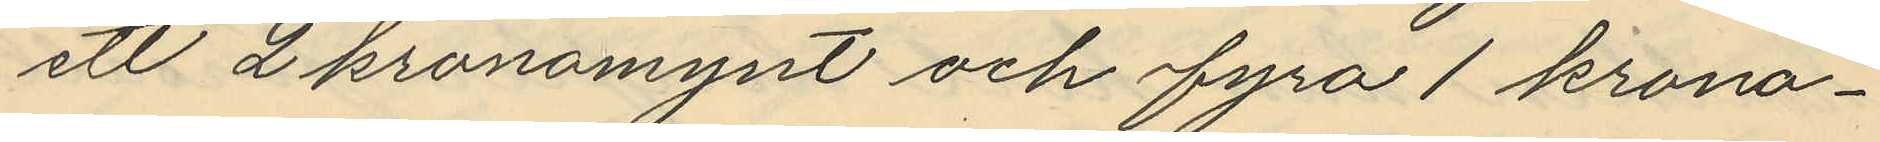ett 2 kronomynt och fyra 1 krono¬
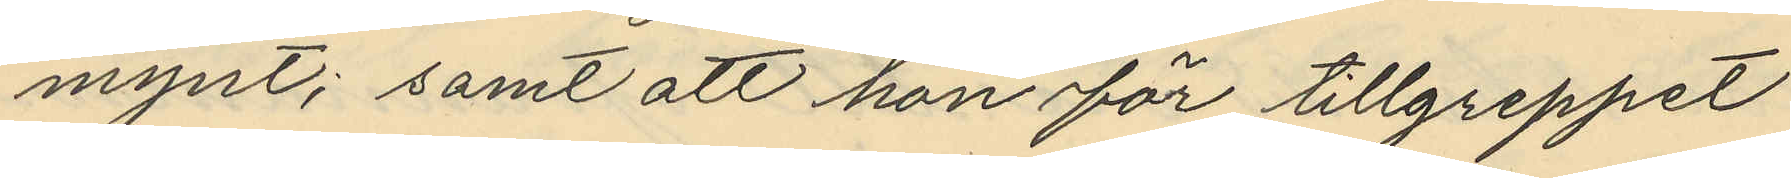mynt; samt att hon för tillgreppet
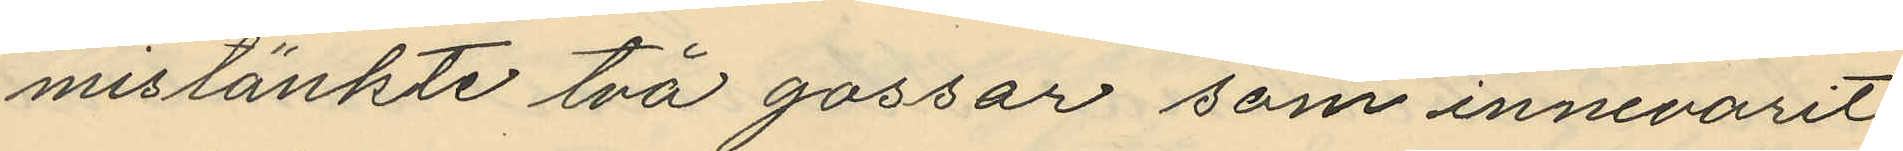mistänkte två gossar som innevarit
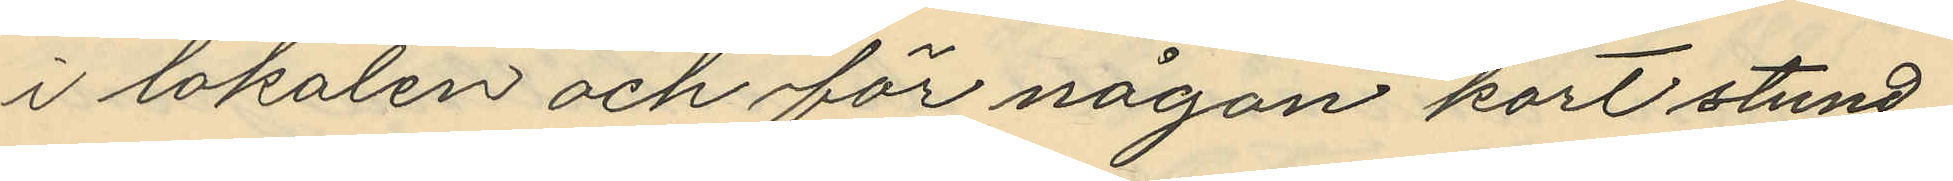i lokalen och för någon kort stund
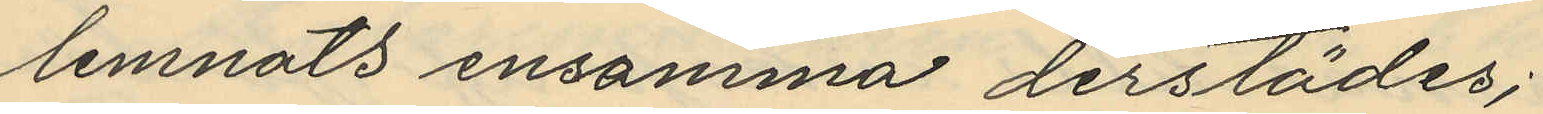lemnats ensamma derstädes;
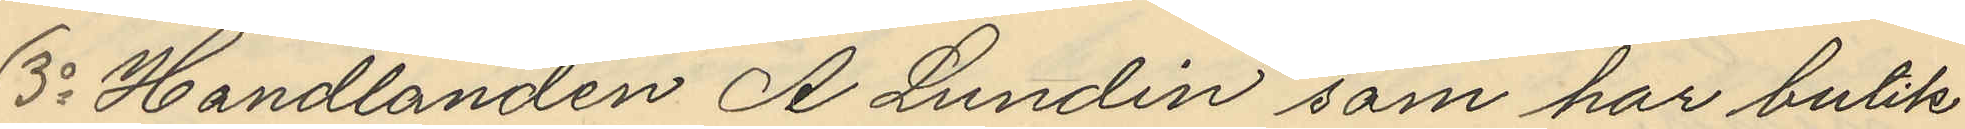3o Handlanden A Lundin som har butik
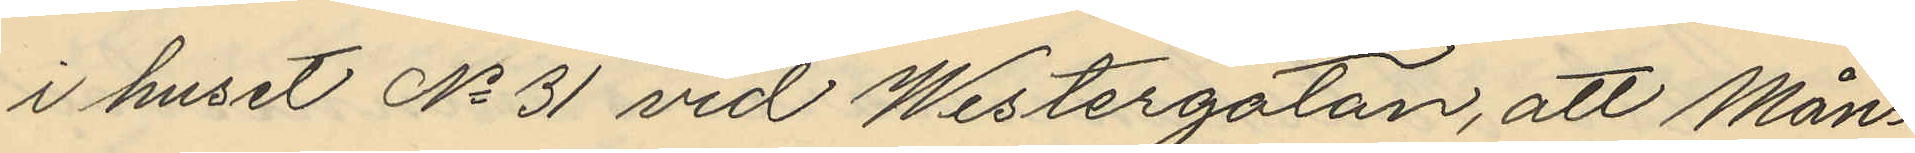i huset No 31 vid Westergatan, att Mån¬
